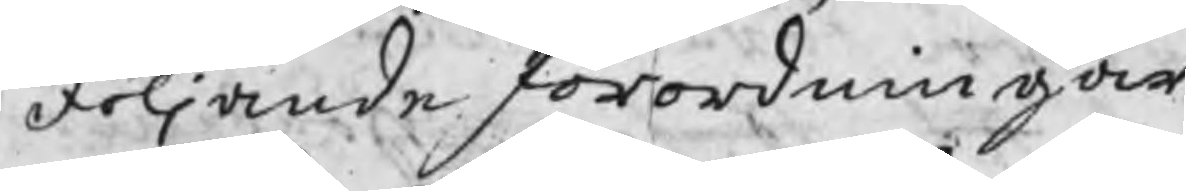följande förordningar.
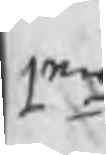1mo
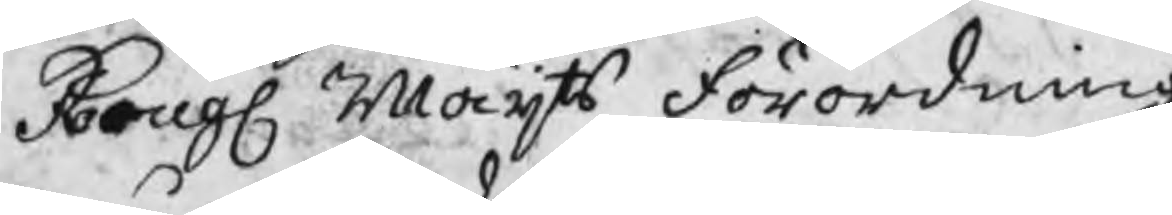Kongl Maijts Förordning
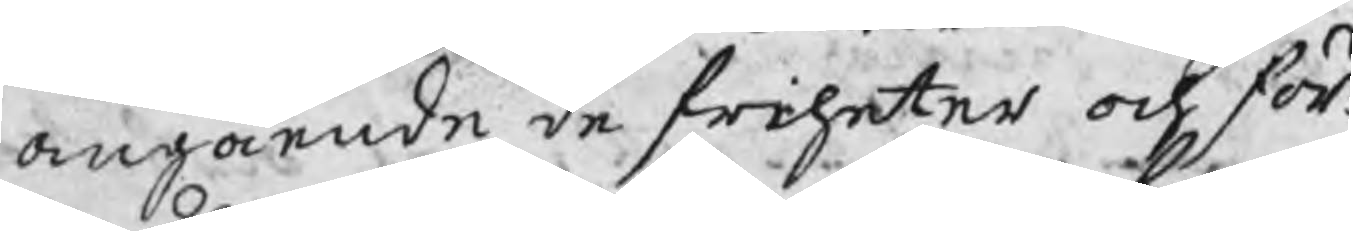angående de friheter och för¬
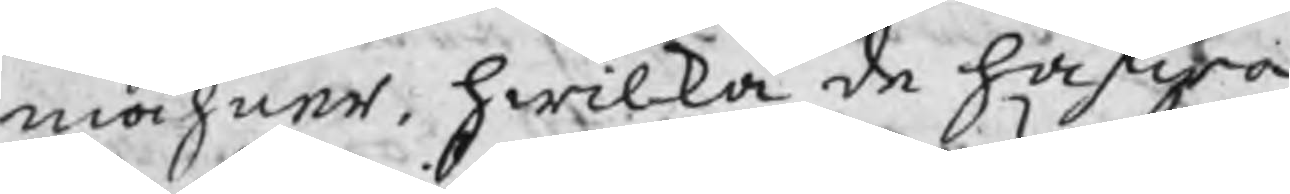måhner, hwilka de hafwa
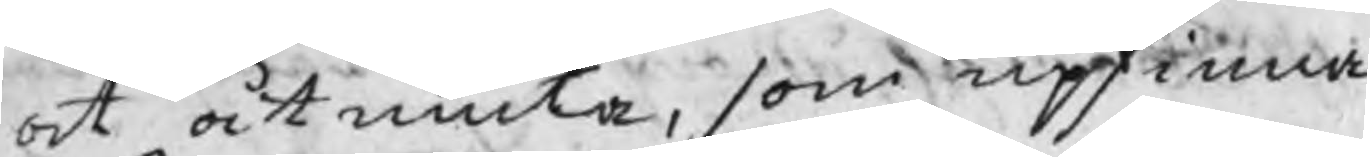at åtniuta, som upfinna
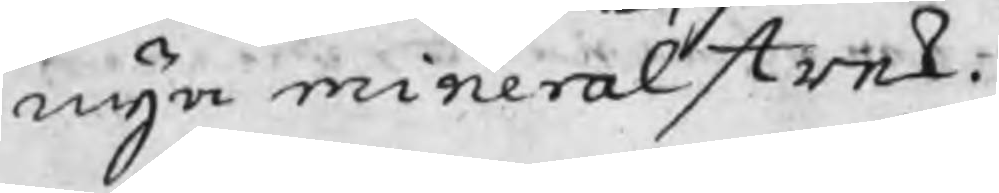nya mineralstrek.
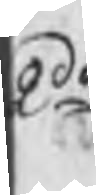2do
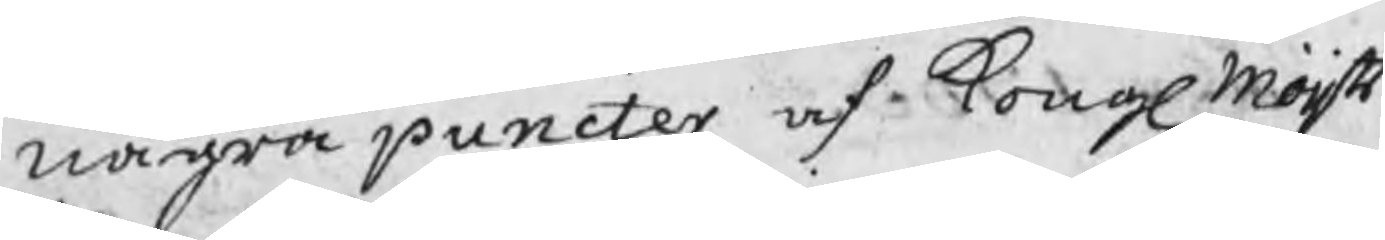några puncter af Kongl Maijts
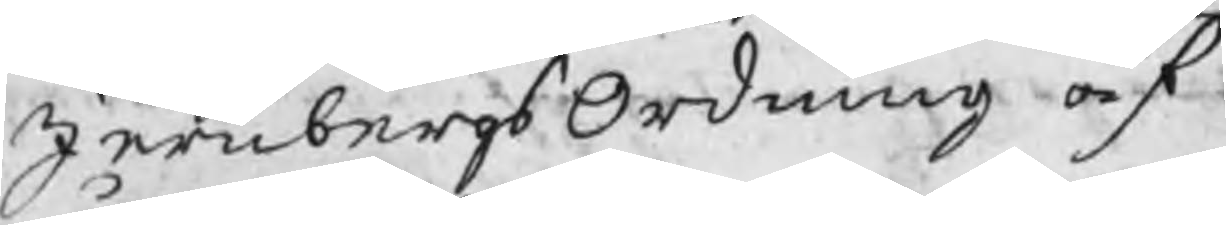JernbergsOrdning af
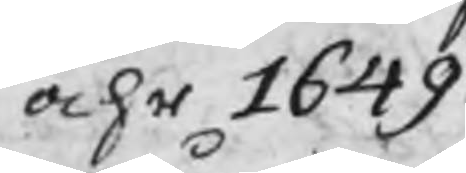åhr 1649.
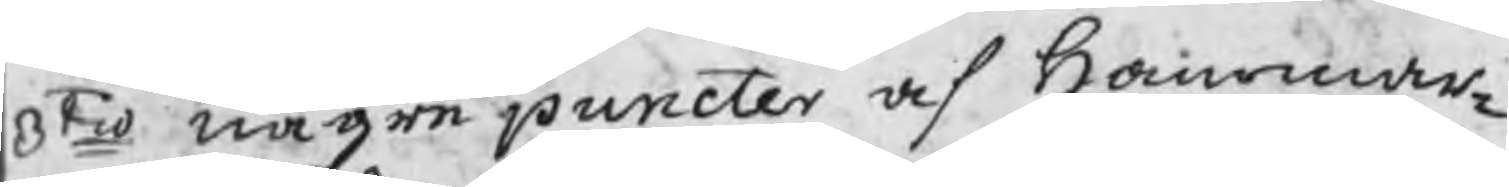3tio några puncter af Hammar¬
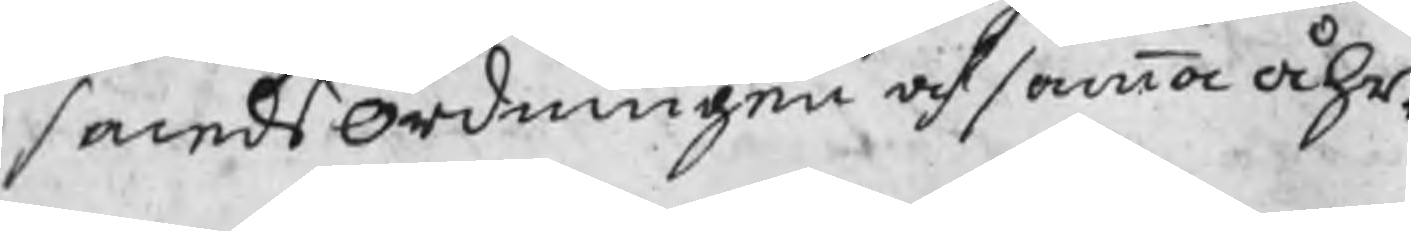smedsOrdningen af samma åhr.
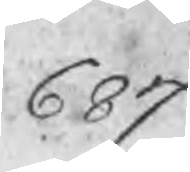687
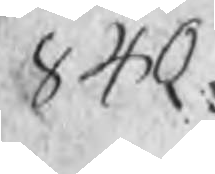840
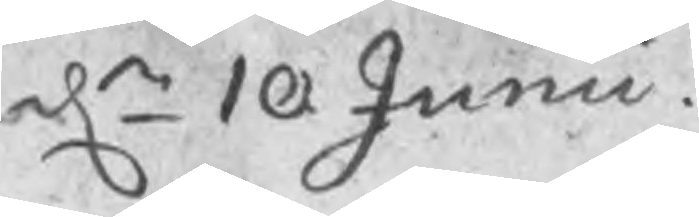dn 10 Junii
